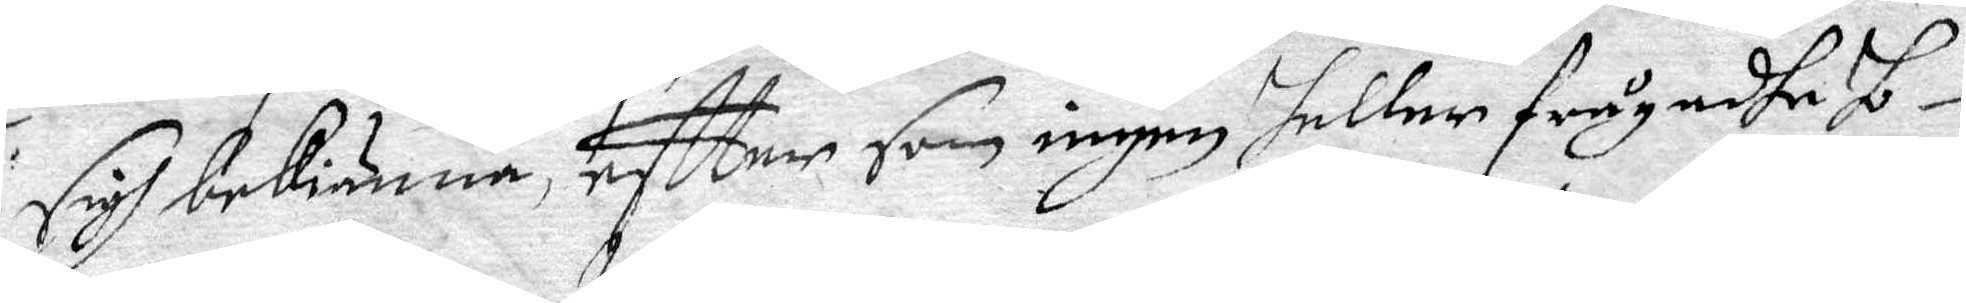sigh bekiänna, eftter som ingen heller frågadhe ho¬
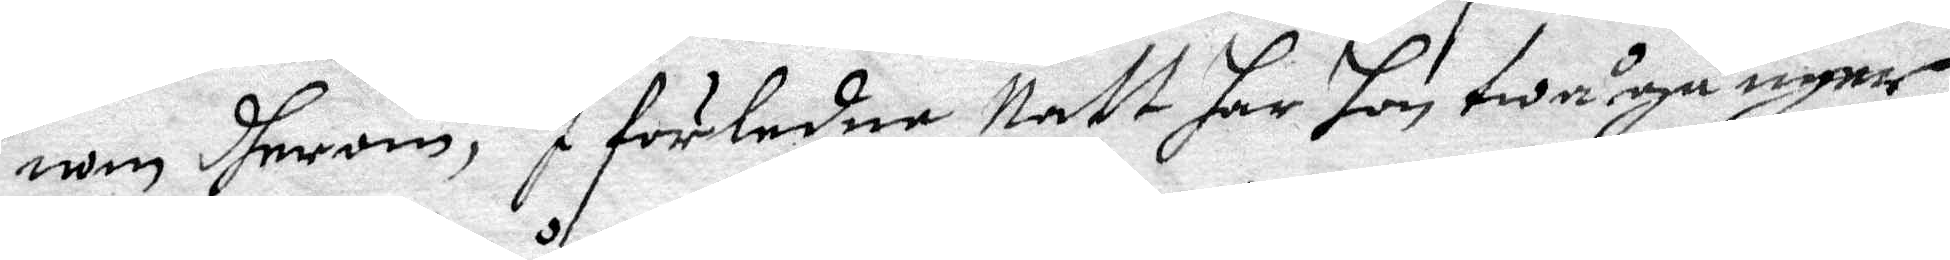nom dherom, I förledne Natt har hon twå gånger
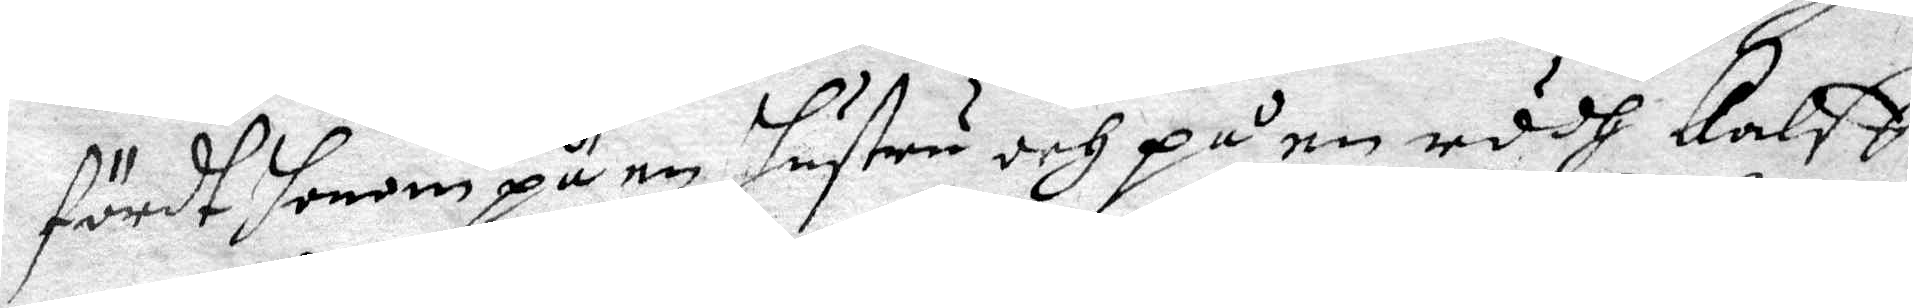fördt honom på en hustru och på en rödh kalff,
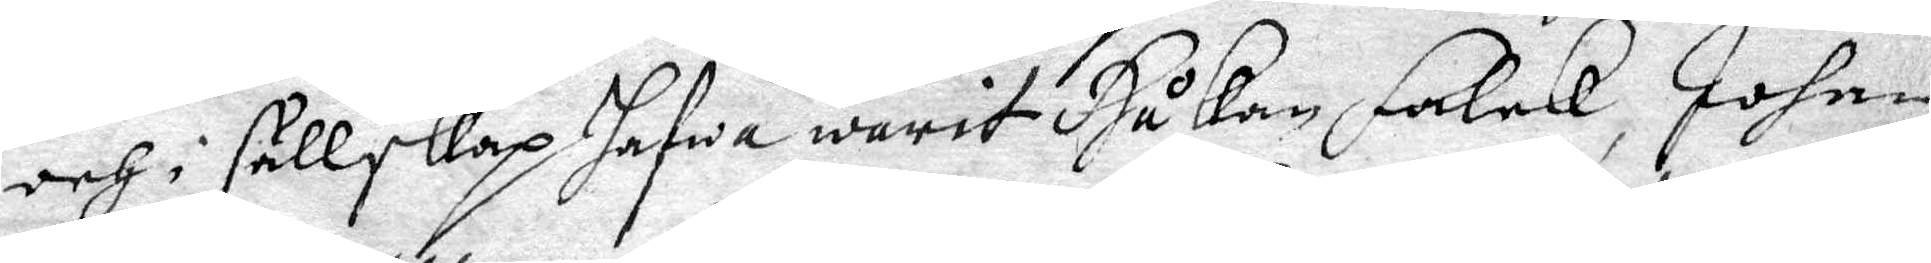och i sällskap hafwa warit Håkan Falck, Johan
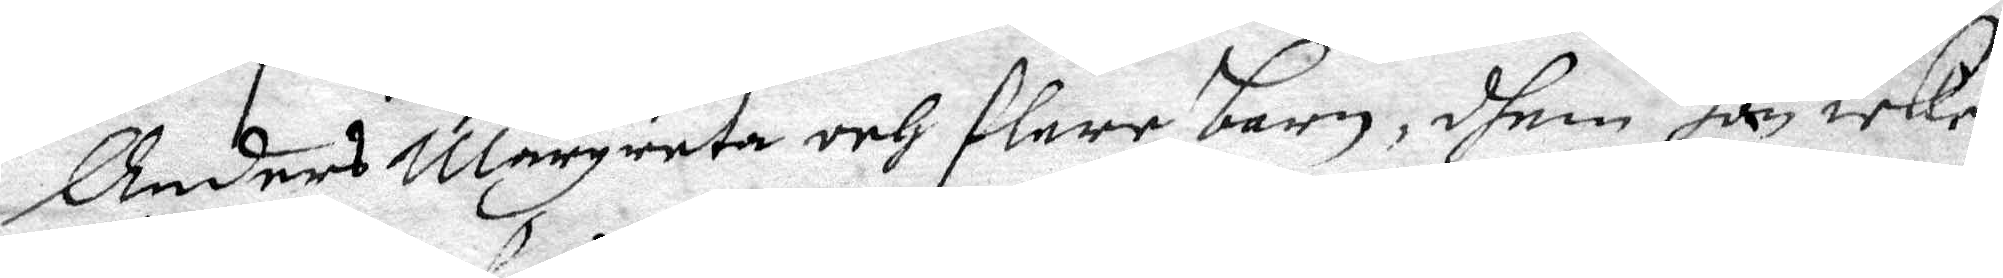Anders Margareta och flere barn, dhem han icke
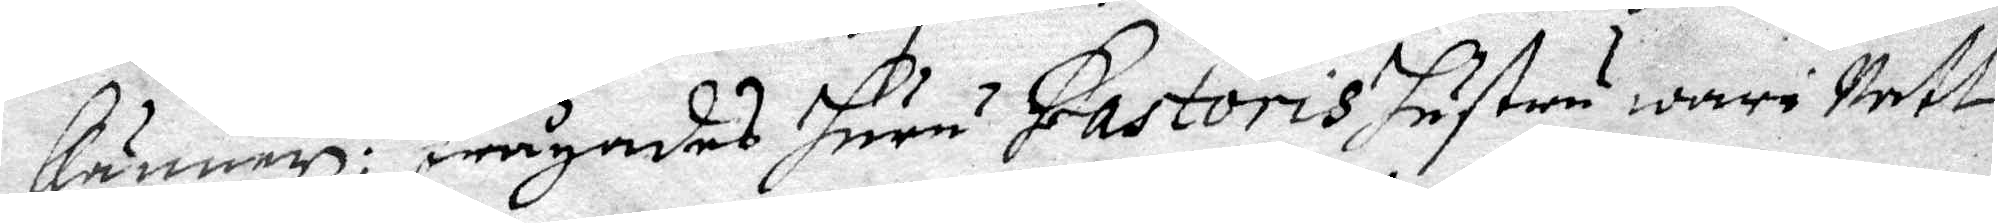känner: Frågades huru Pastoris hustru ware Natt¬
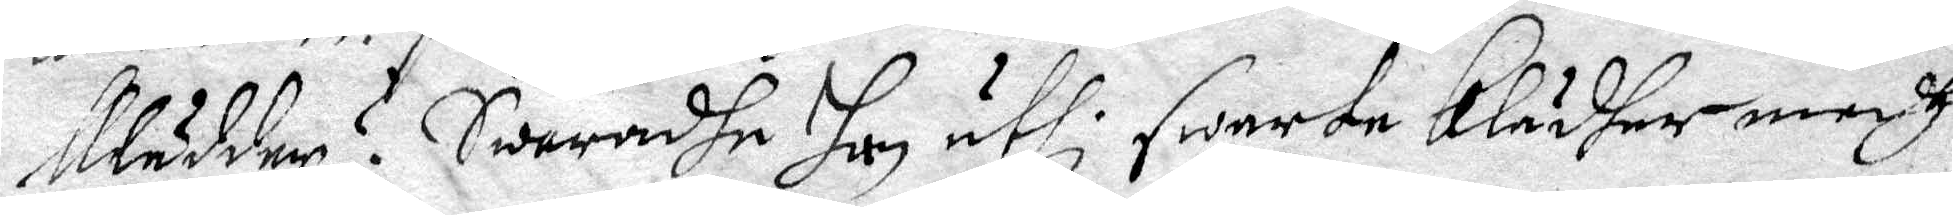klädder? Swaradhe hon uthi swarta klädher medh
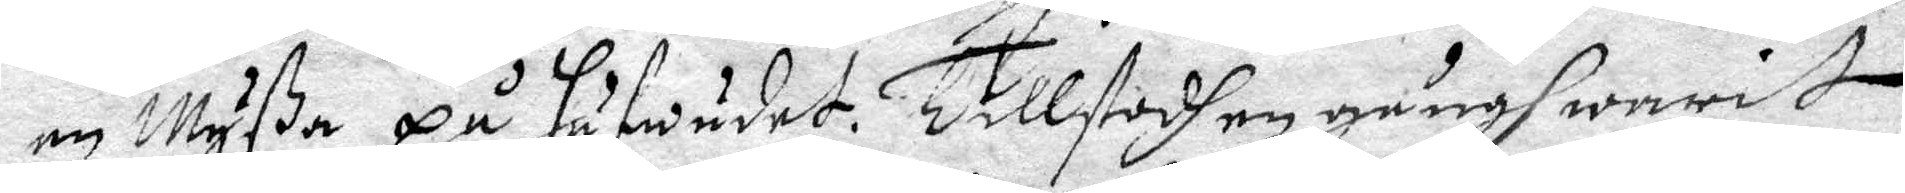en Myßa på hufwudet. Tillstodh en gångh warit
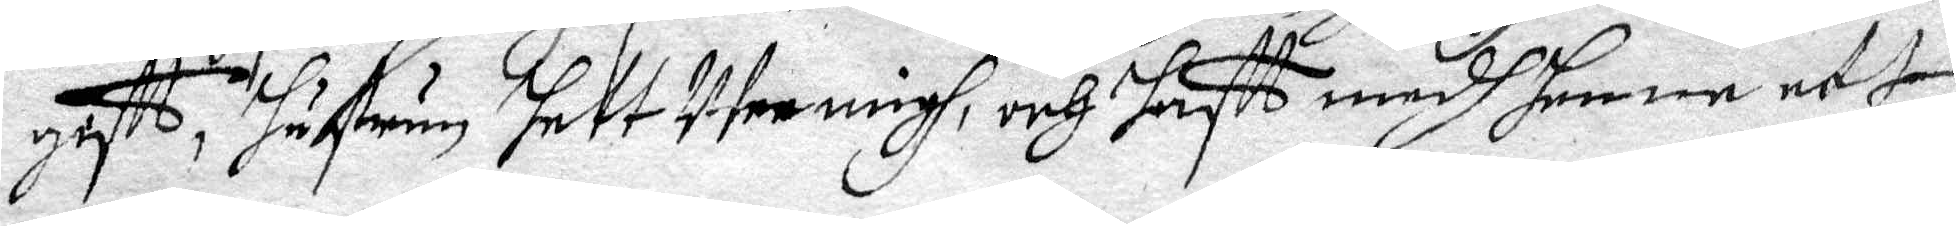gastt, hustrun hett Wee migh, och hafft medh honom ett
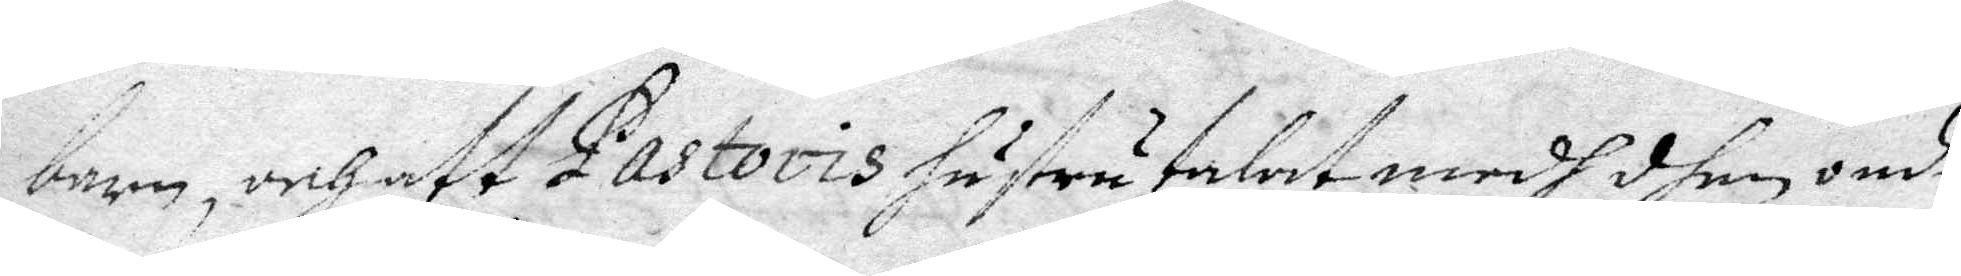barn, och att Pastoris hustru talat medh dhen onde
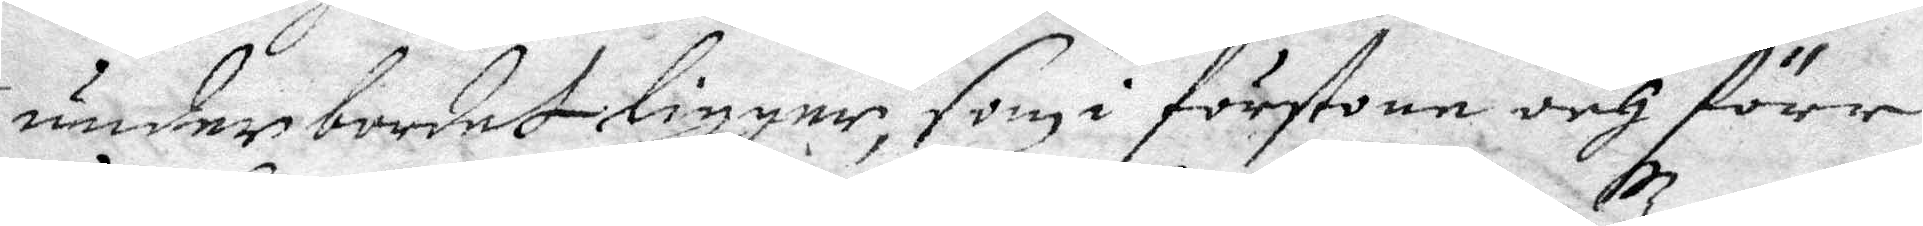under bordet ligger, som i förstone och förr
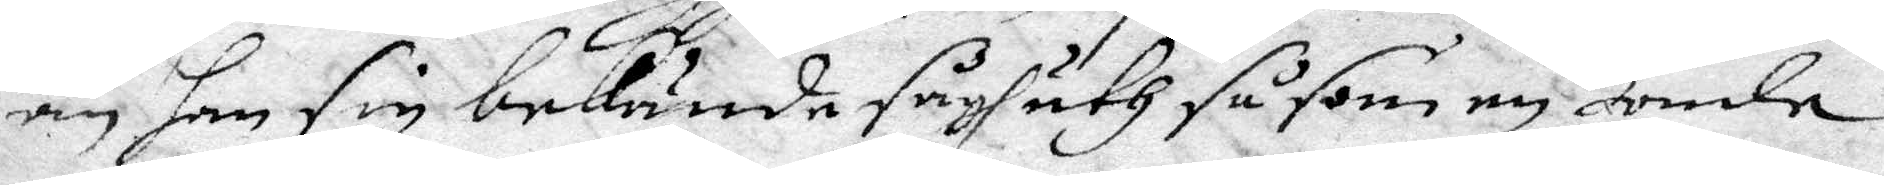än han sig bekände sågh uth såsom en Bonde.
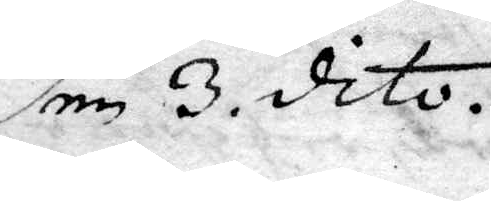den 3 dito.
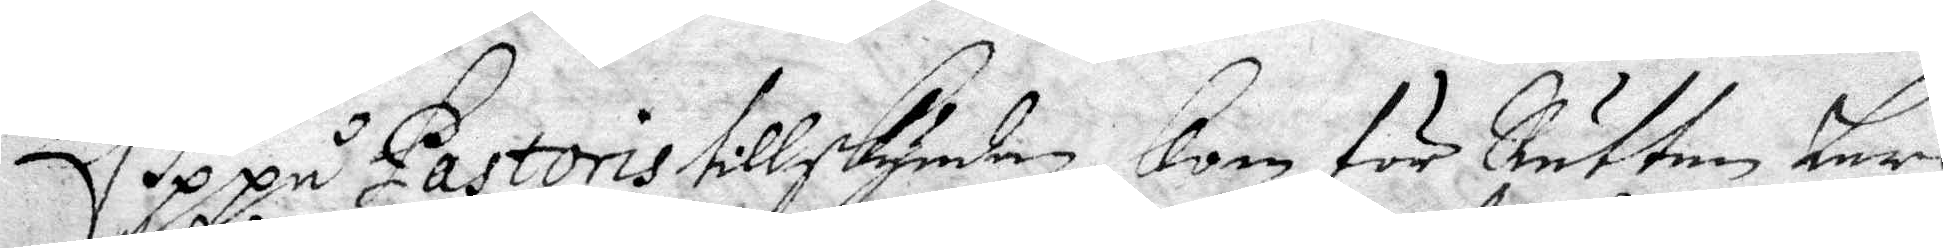Uppå Pastoris tillskyndan kom för Rätten Lars
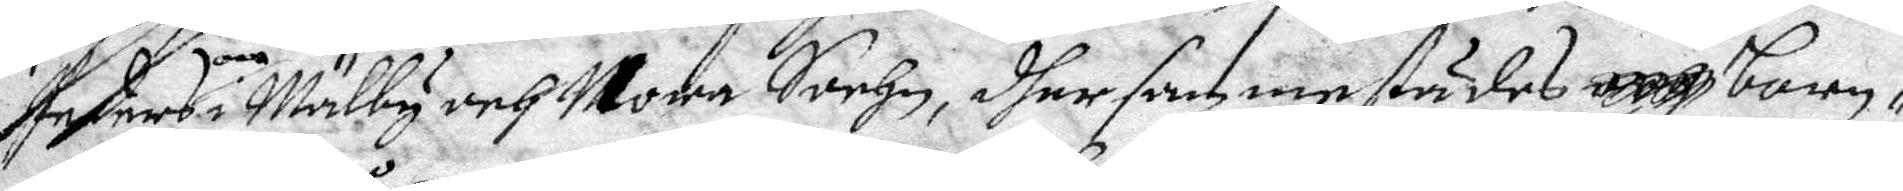Perderson i Mälby och Nora Sochn, dher sammestädes barn¬
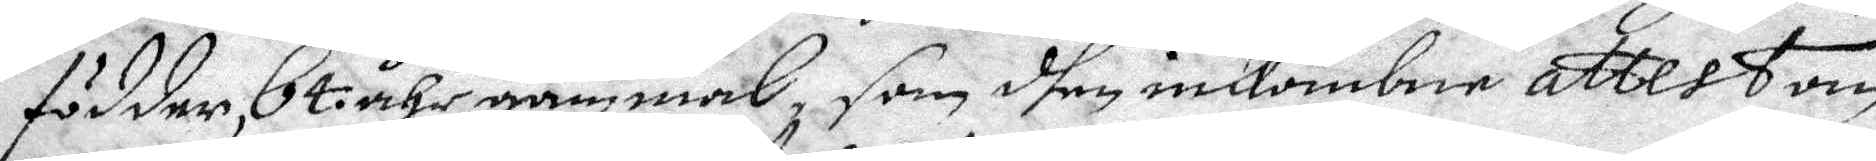födder, 64 åhr gammal, som dhen inkombne attest om
